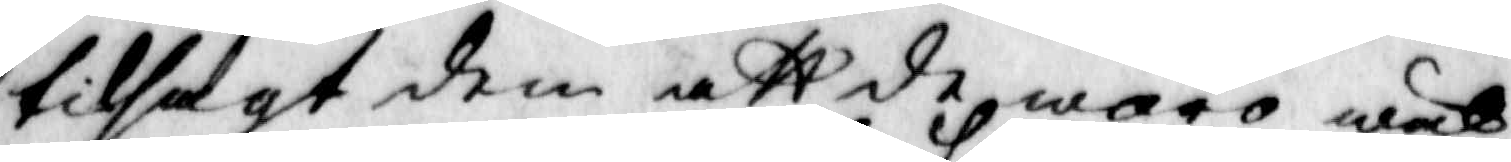tilsagt dem att de woro wäl¬
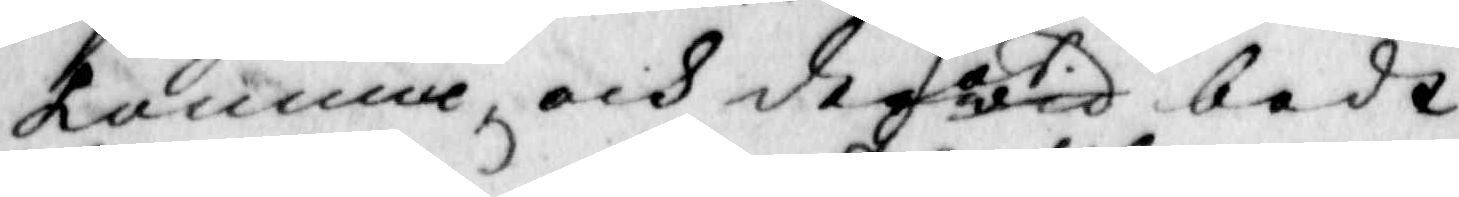komna och derhoswid bedt
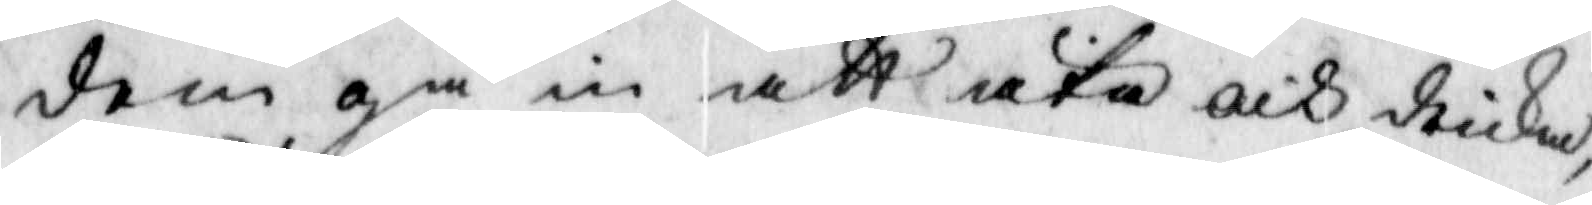dem gå in att äta och dricka,
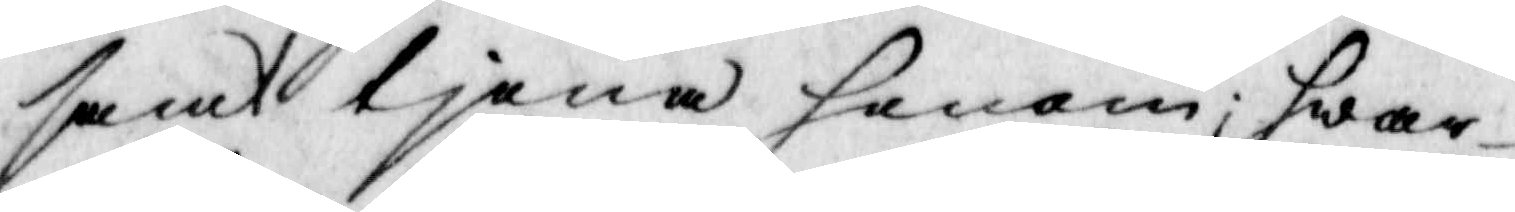samt tjena honom; hwar¬
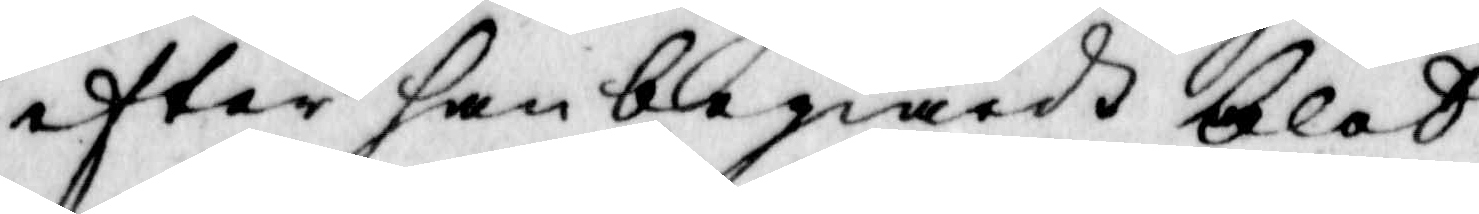efter han begiärdh blod
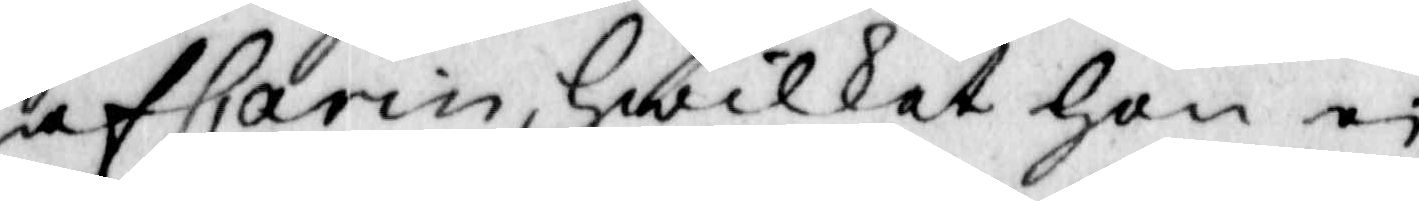af Carin, hwilket Hon ei
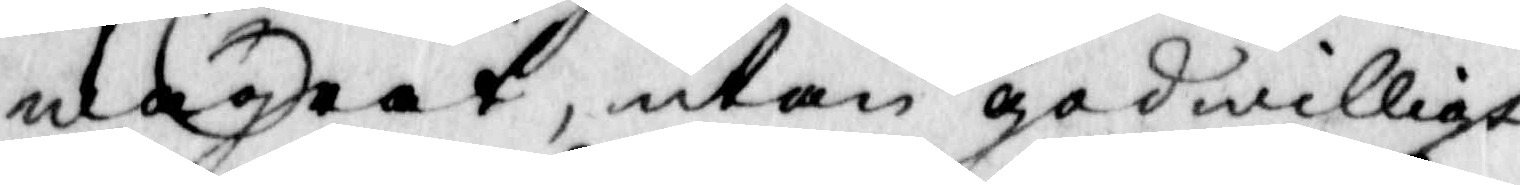wägrat, utan gådwilligt
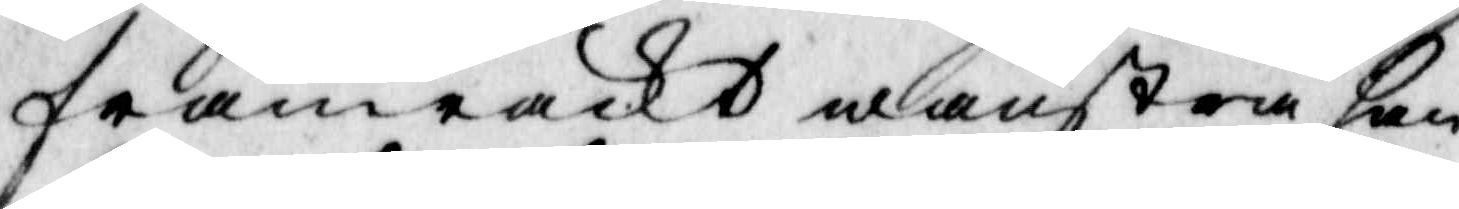framräckt wänstra han¬
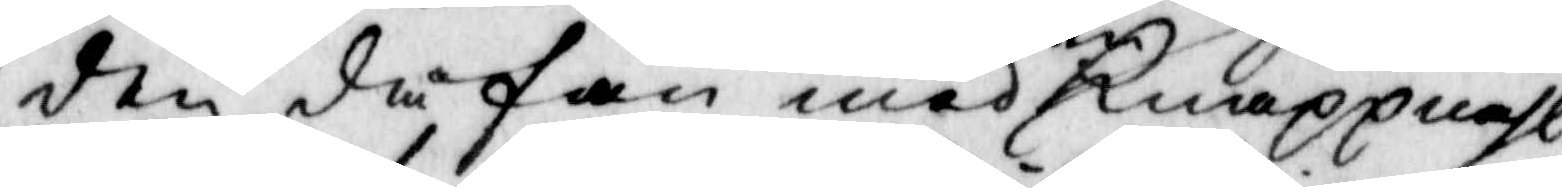den då fan med en knappnåhl
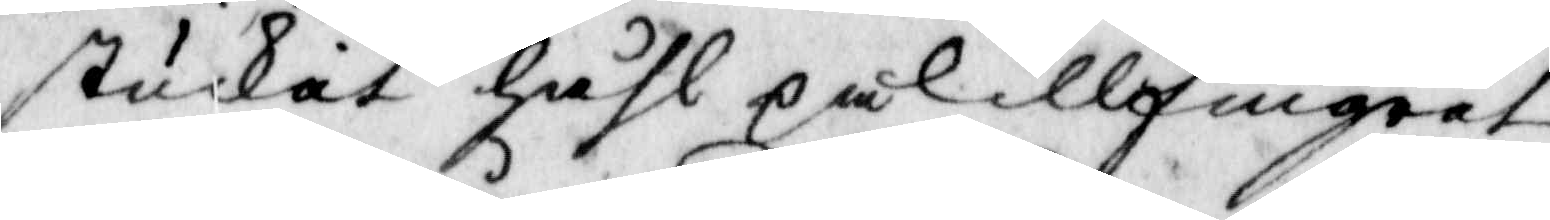stuckat håhl på lillfingret
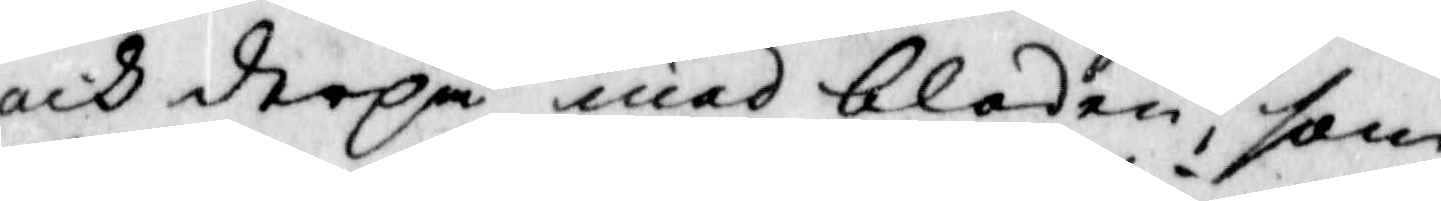och derpå mad bloden, som
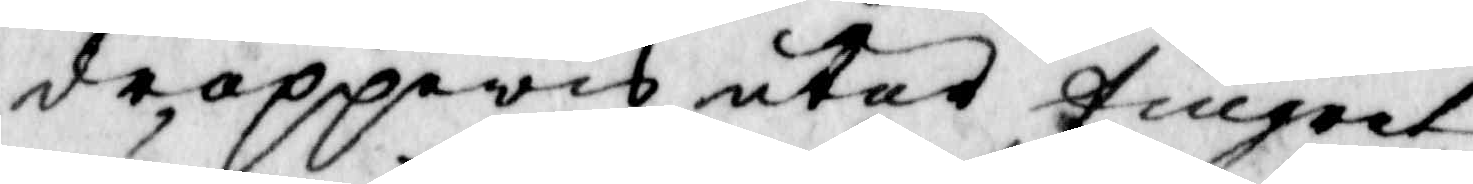droppewis utat fingret
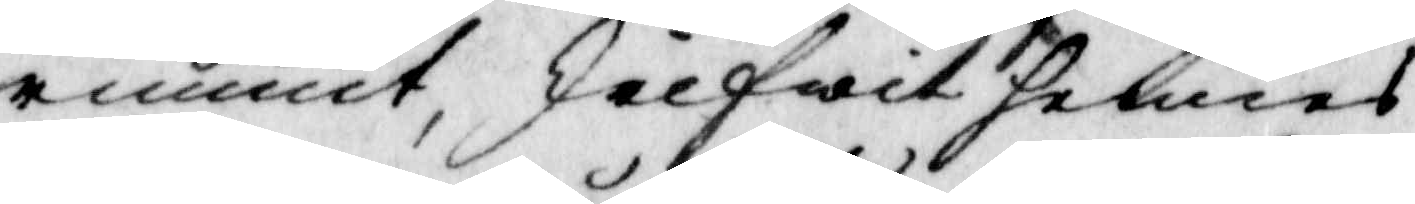runnit, jelfwit hennes
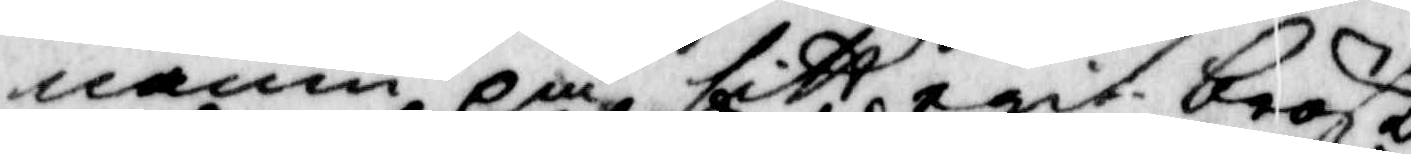namn på sitt egit bröst
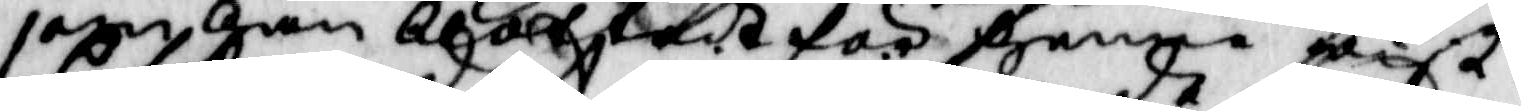som han blottade för yenne dist.
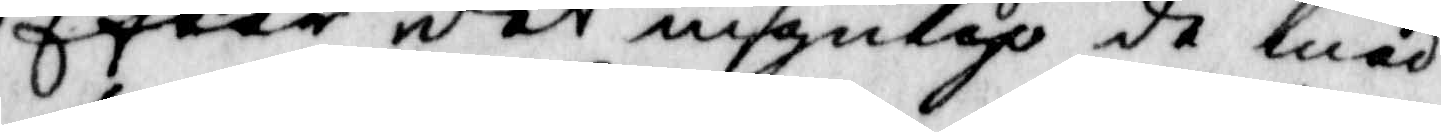Efter det ingulag de med
